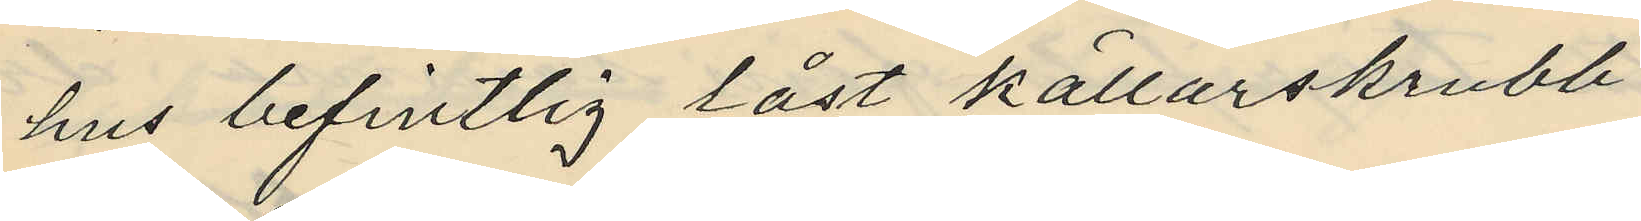hus befintlig låst källarskrubb
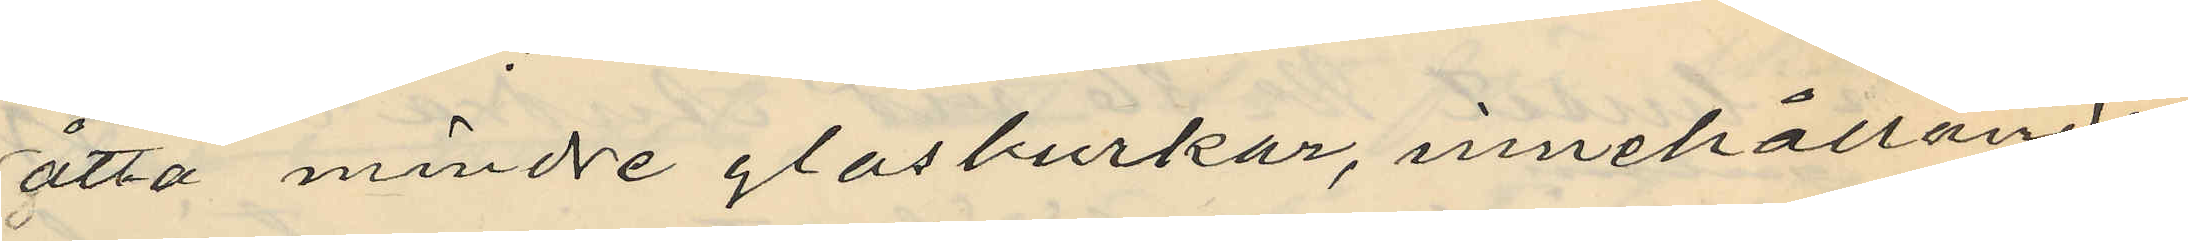åtta mindre glasburkar, innehållande
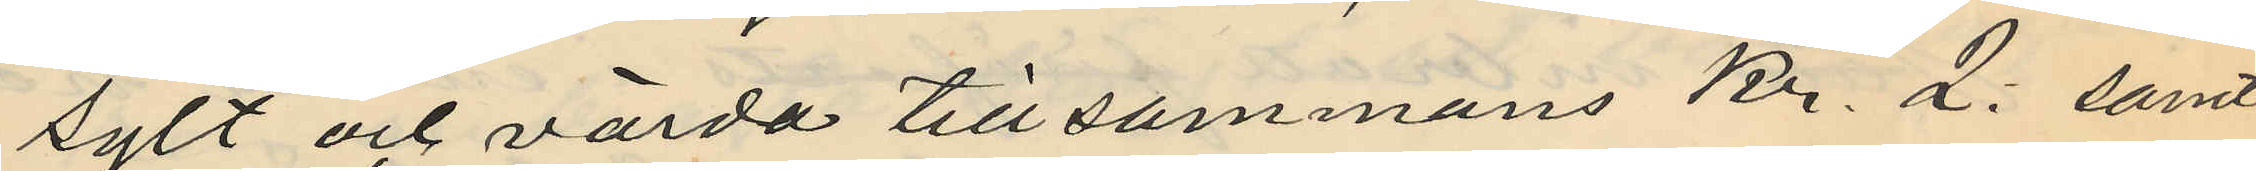sylt och värda tillsammans Kr. 2: samt
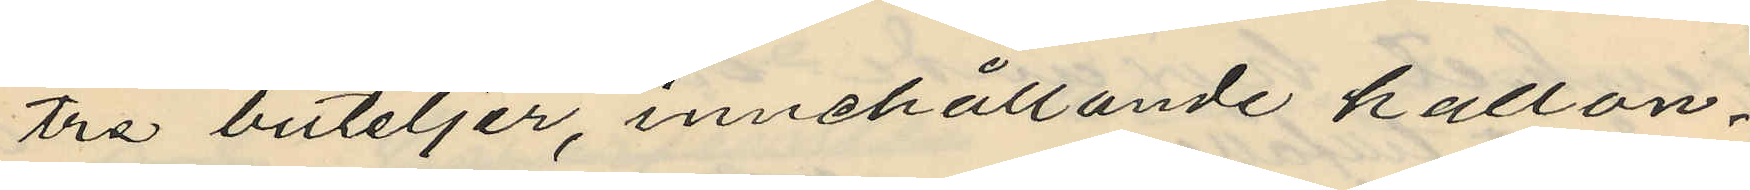tre buteljer, innehållande hallon¬
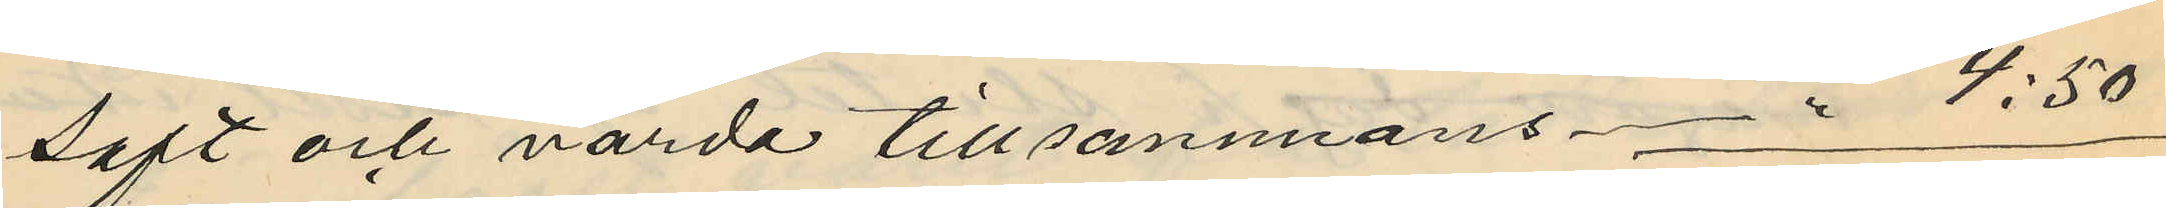saft och värda tillsammans -" 4:50
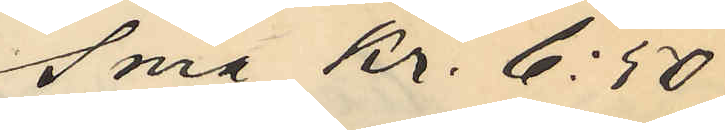Sma kr. 6:50
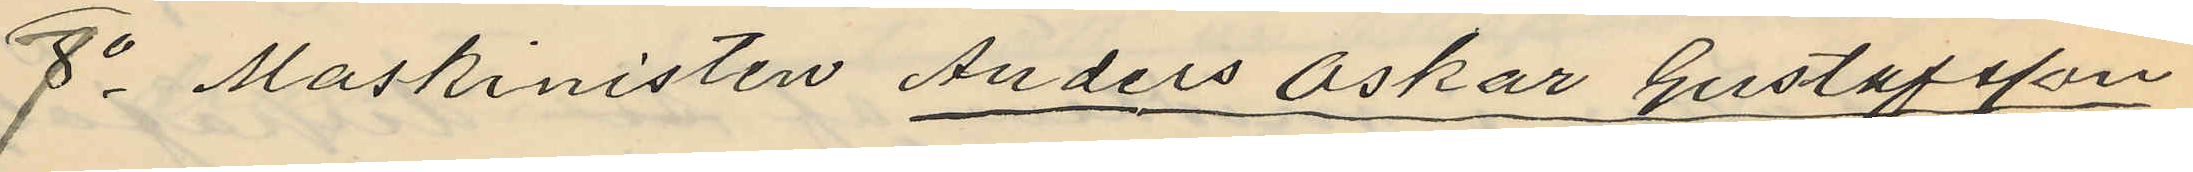7o Maskinisten Anders Oskar Gustafsson
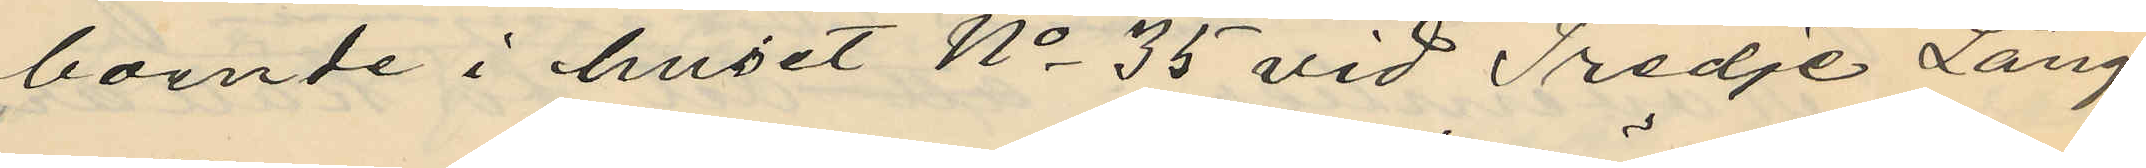boende i huset No 35 vid Tredje Lång¬
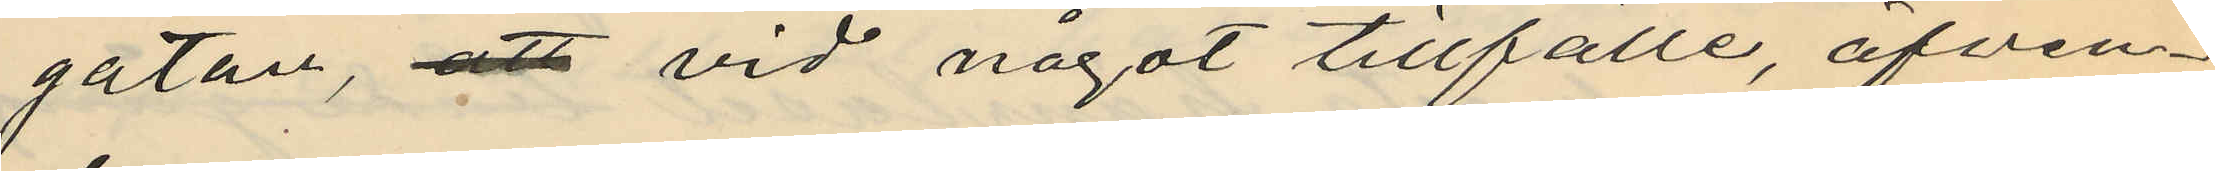gatan, att vid något tillfälle, äfven¬
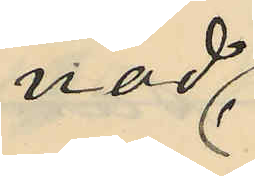nad
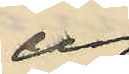ur
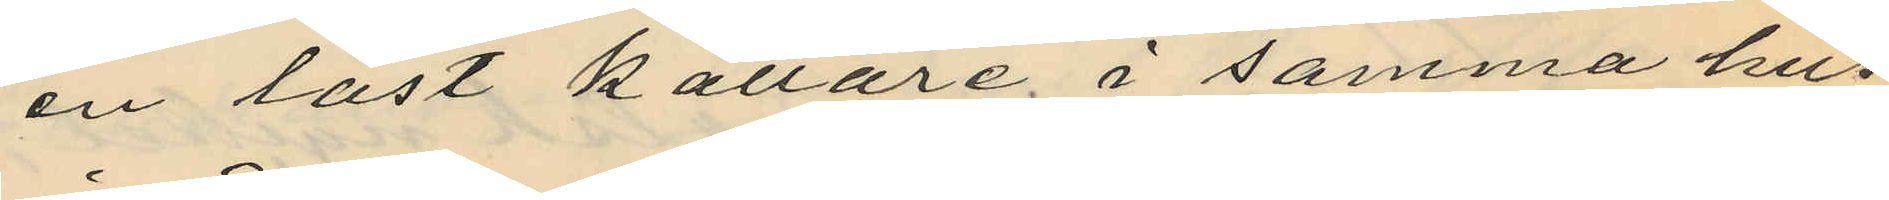en låst källare i samma hus
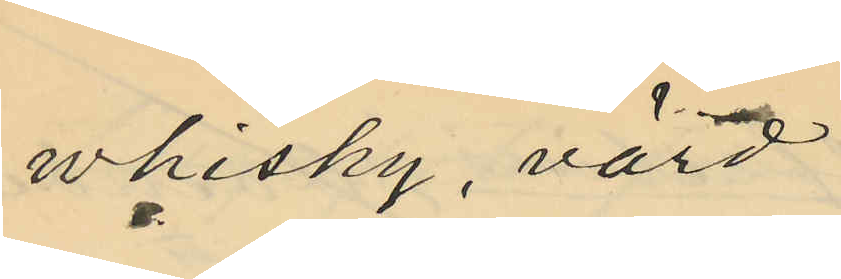whisky, värd
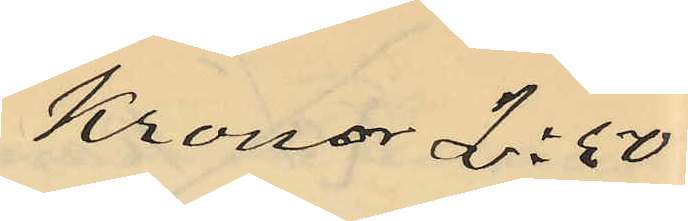Kronor 2:50
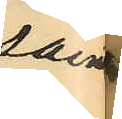samt
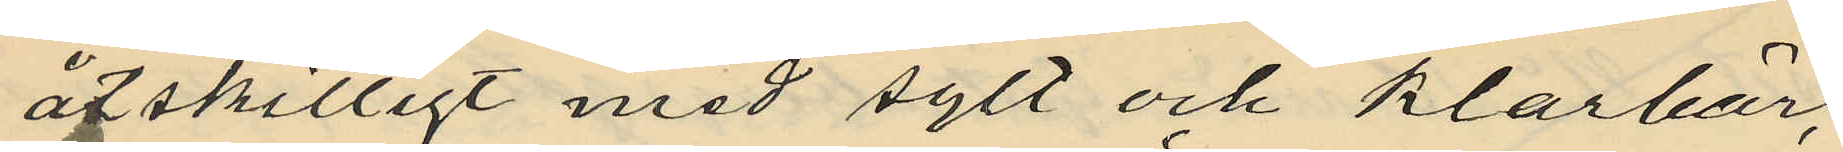åtskilligt med sylt och klarbär,
